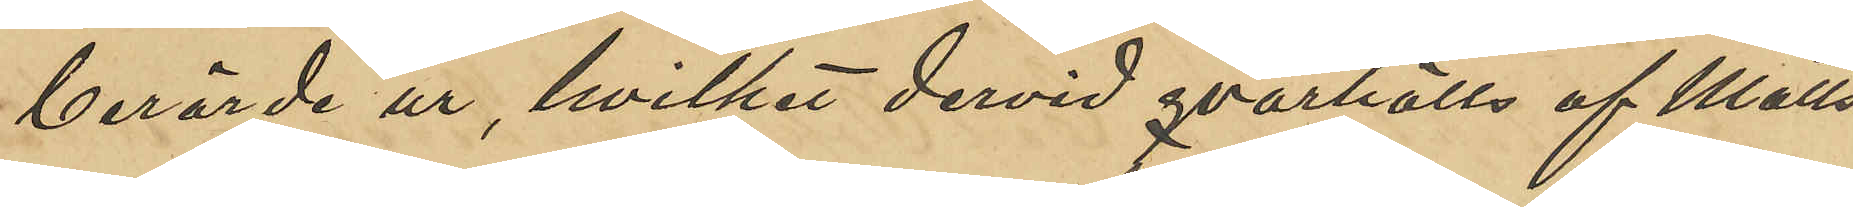berörde ur, hvilket dervid qvarhölls af Matts¬
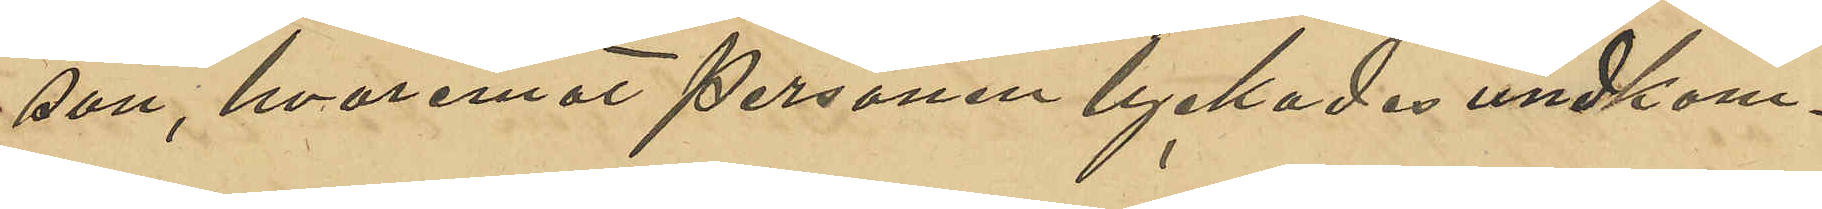son, hvaremot personen lyckades undkom¬
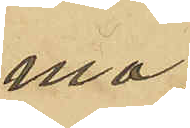ma.
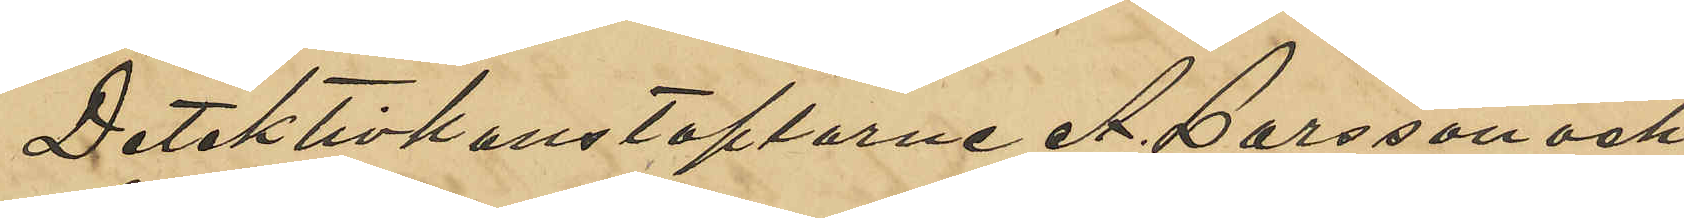Detektivkonstaplarne A. Larsson och
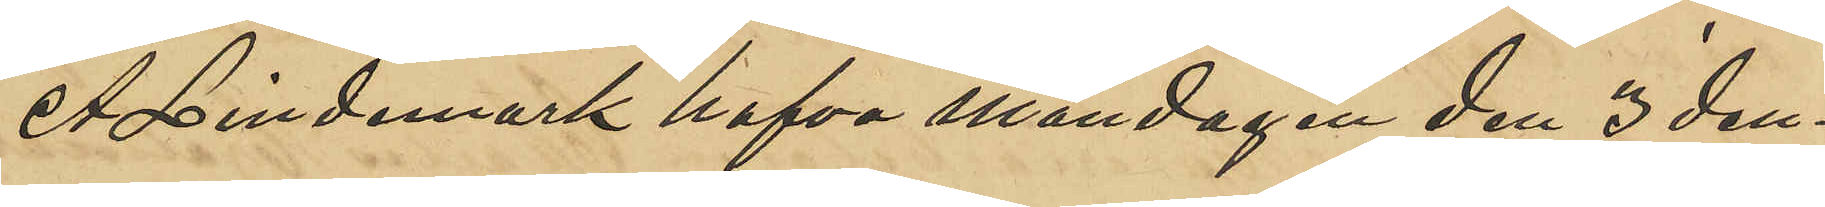A. Lindemark hafva måndagen den 3 den¬
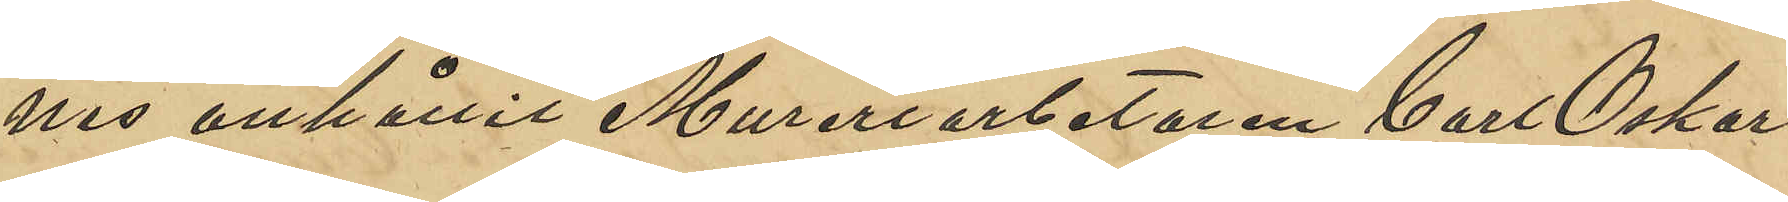nes anhållit Mureriarbetaren Carl Oskar
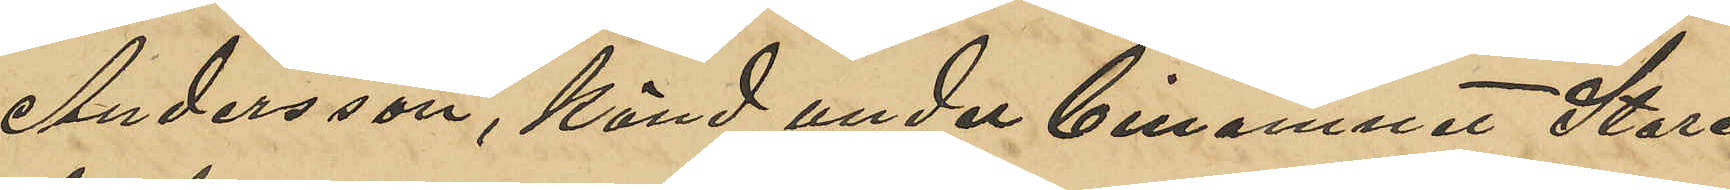Andersson, känd under binamnet "Stora
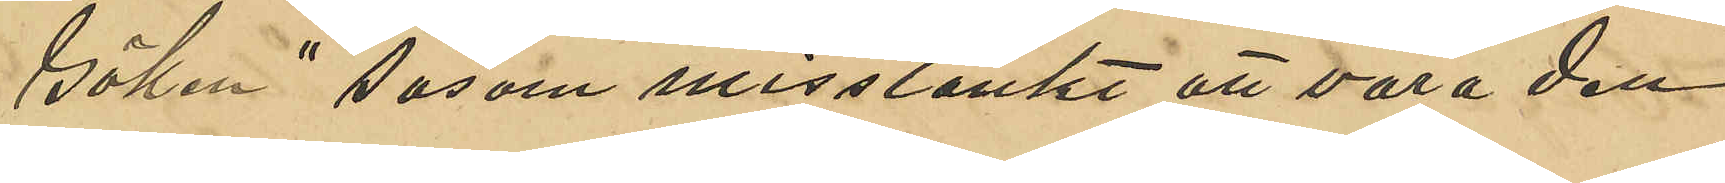Göken" såsom misstänkt att vara den
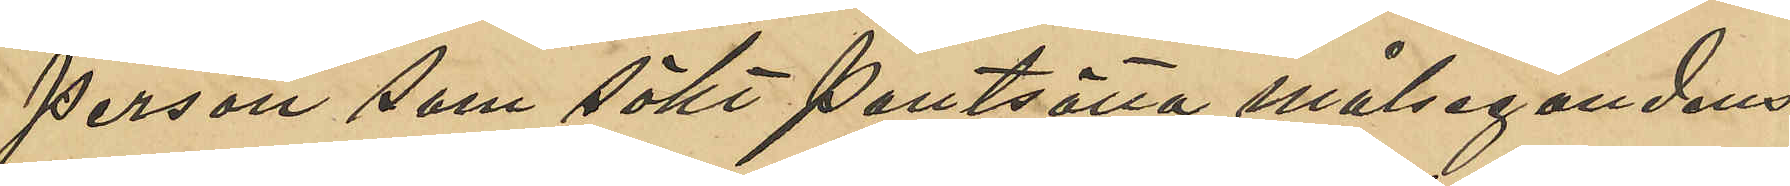person som sökt pantsätta målsegandens
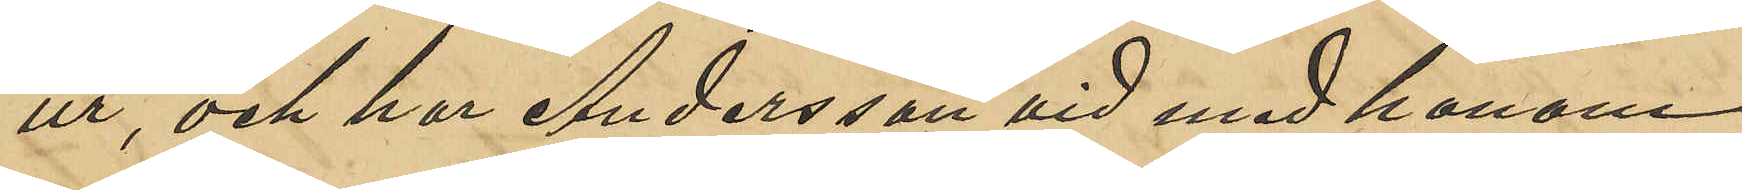ur, och har Andersson vid med honom
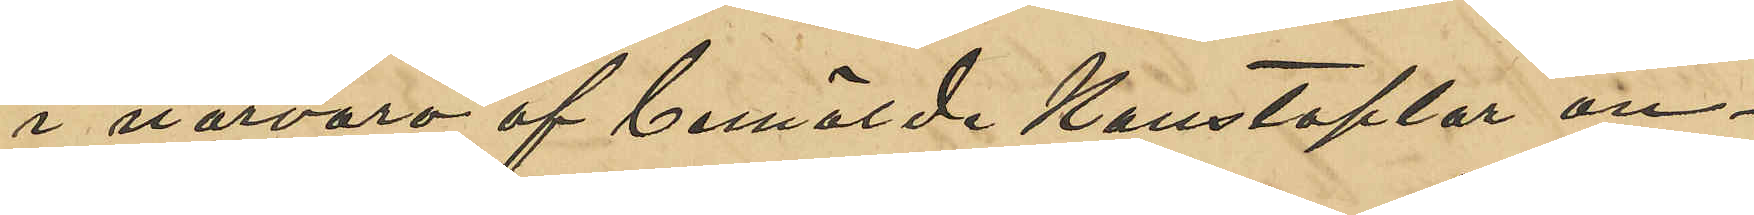i närvaro af berörda Konstaplar an¬
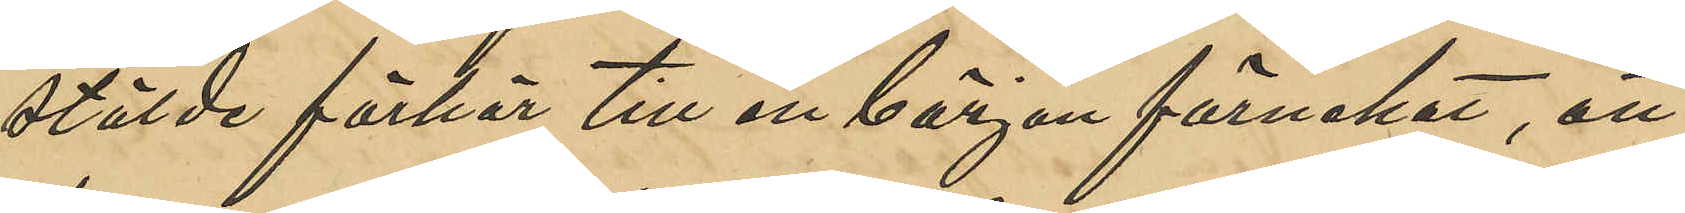stälde förhör till en början förnekat, att
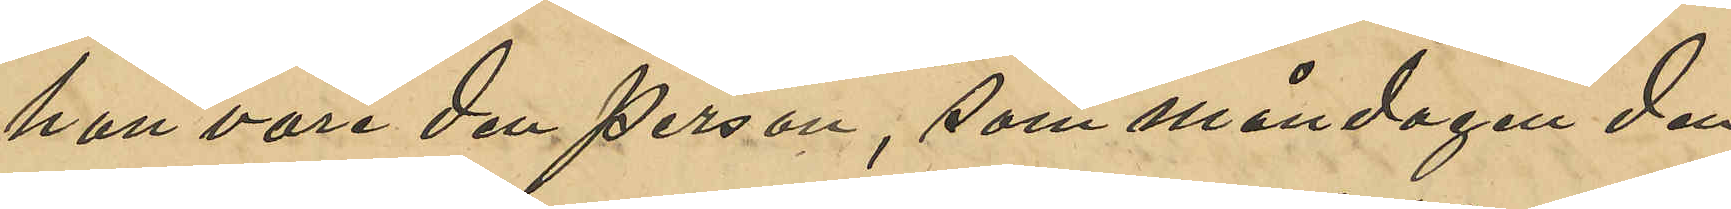han var den person, som måndagen den
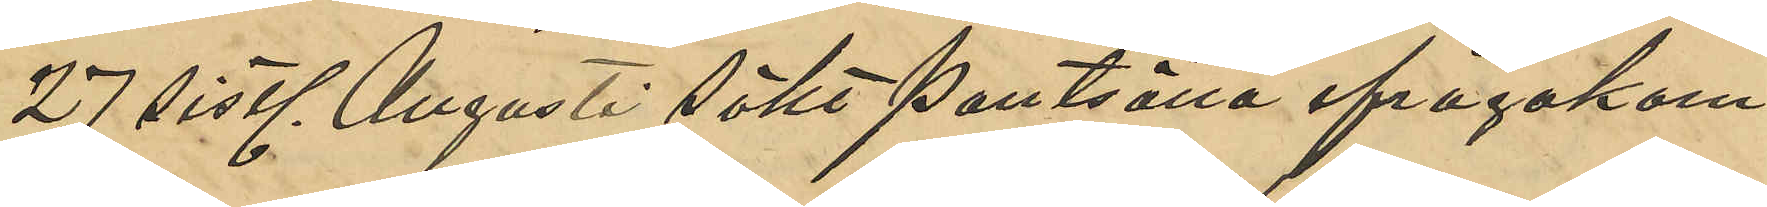27 sistl. Augusti sökt pantsätta ifrågakom¬
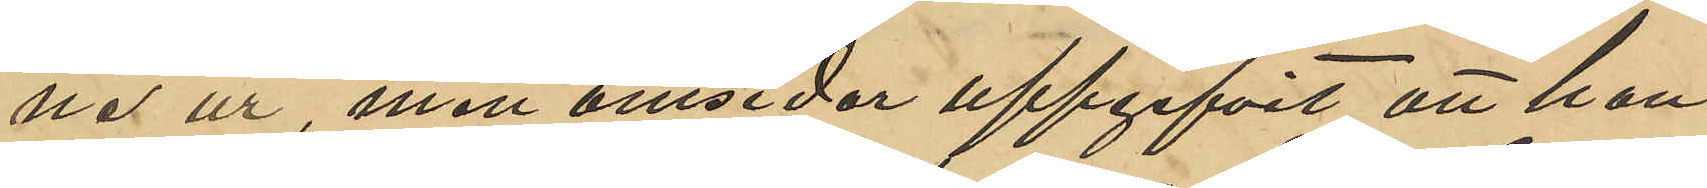ne ur, men omsider uppgifvit att han
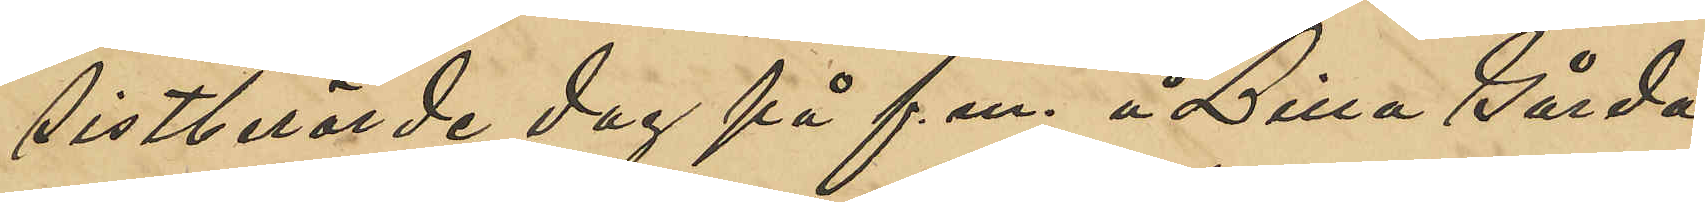sistlidne dag på f. m. å Lilla Gårda
